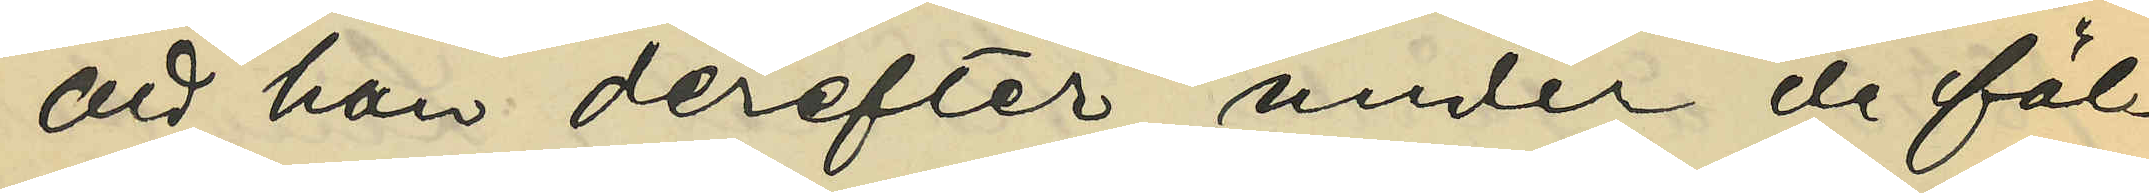att han derefter under de föl¬
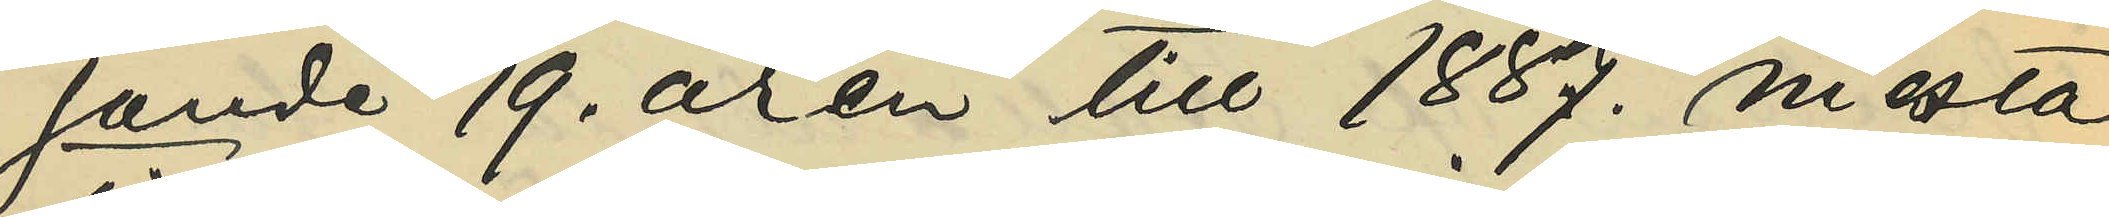jande 19. åren till 1887. mesta
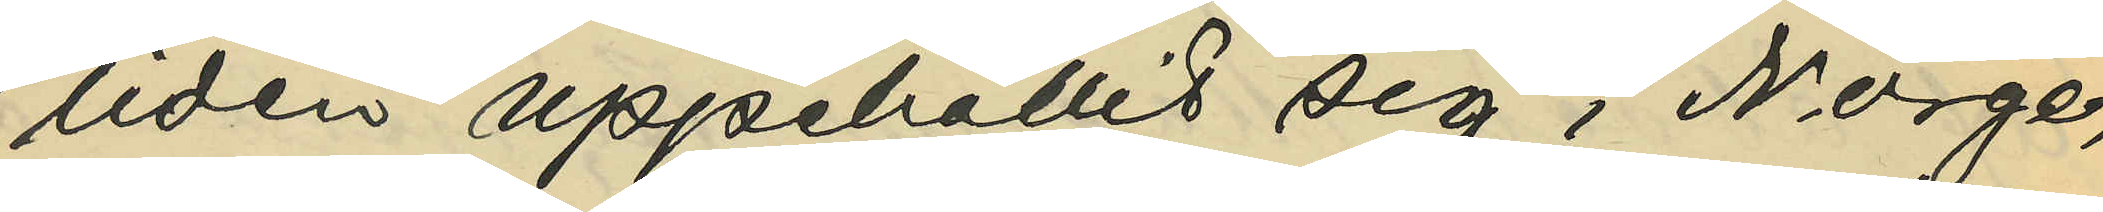tiden uppehållit sig i Norge,
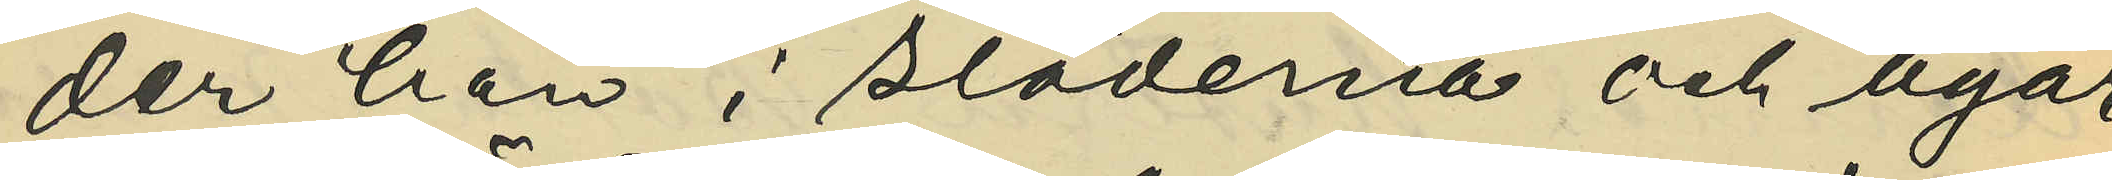der han i städerna och byar¬
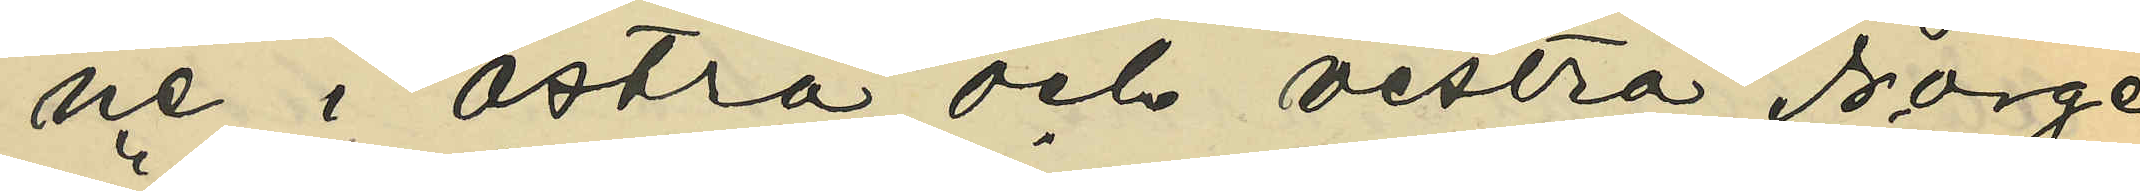ne i östra och vestra Norge
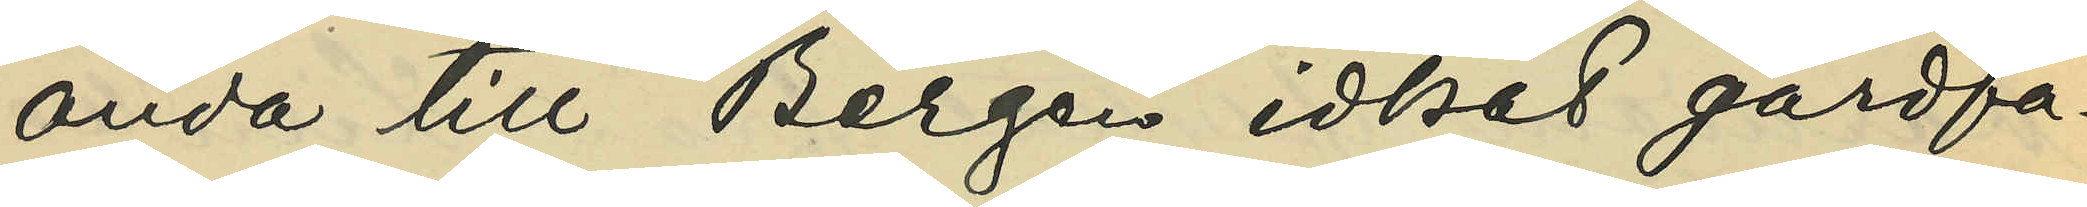ända till Bergen idkat gårdfa¬
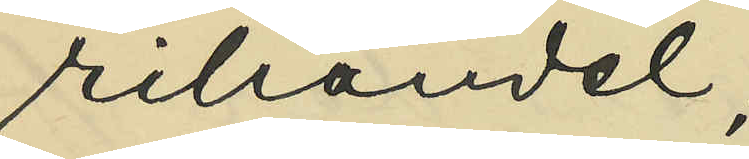rihandel;
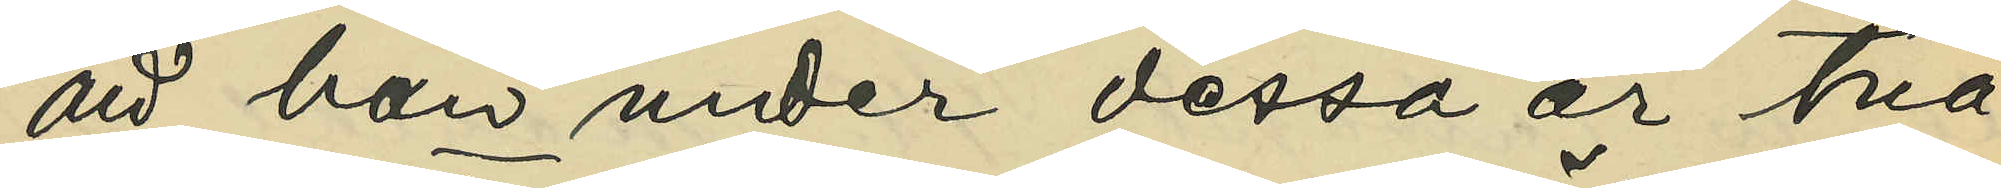att han under dessa år två
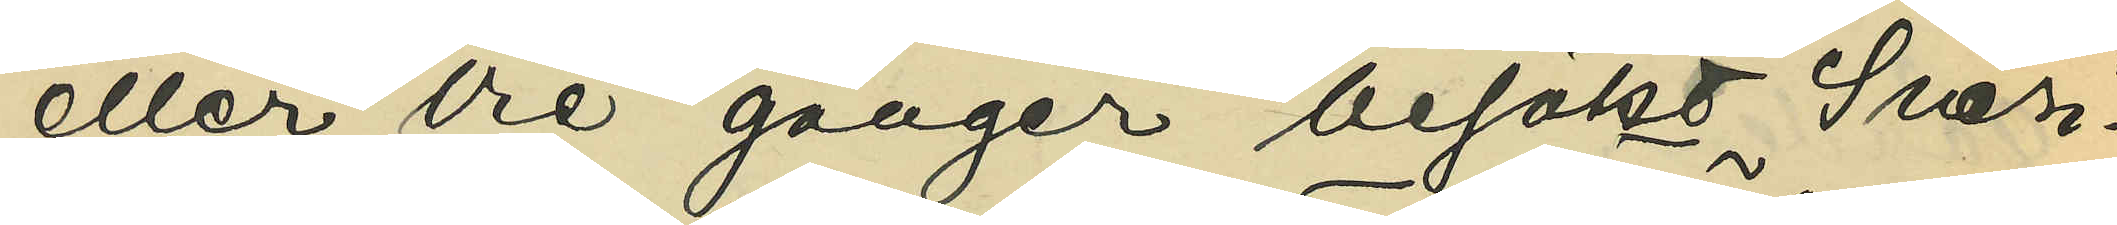eller tre gånger besökt Sveri¬
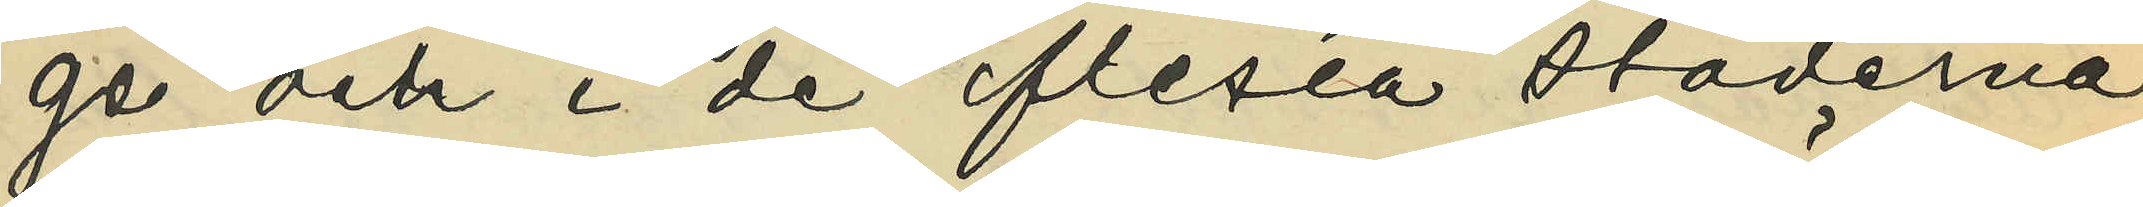ge och i de flesta städerna
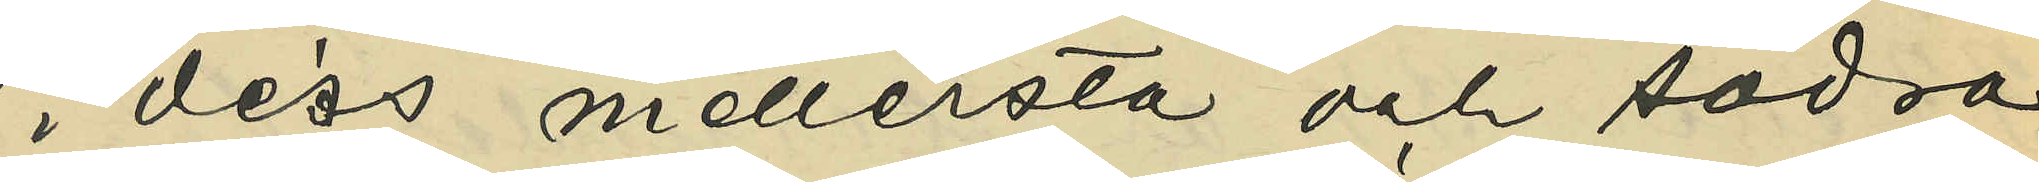i dess mellersta och södra
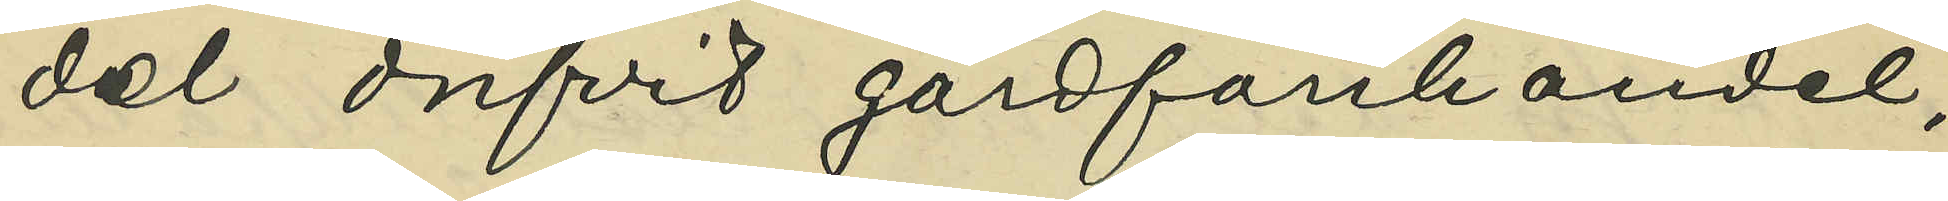del drifvit gårdfarihandel;
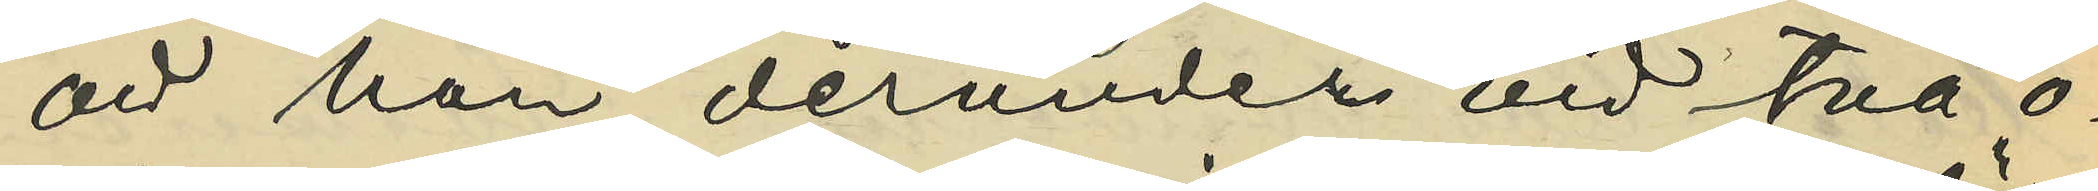att han derunder vid två o¬
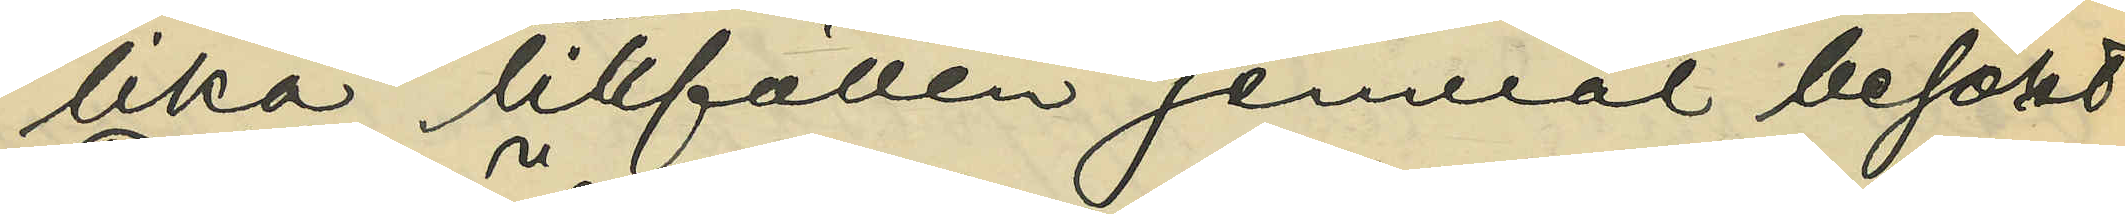lika tillfällen jemväl besökt
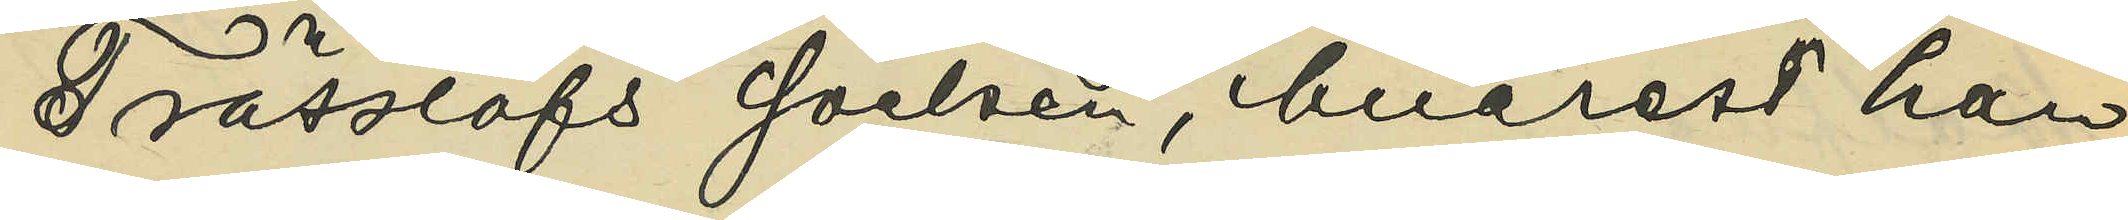Trässlöfs socken, hvarest han
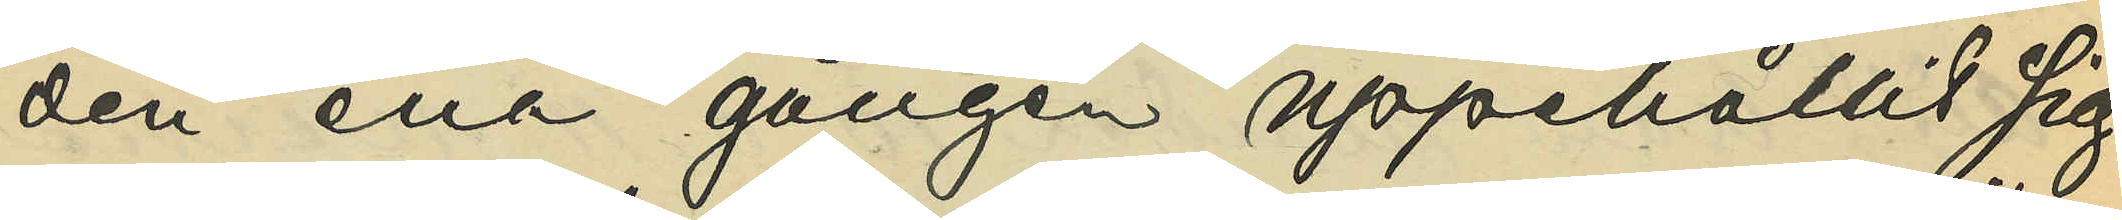den ena gången uppehållit sig
